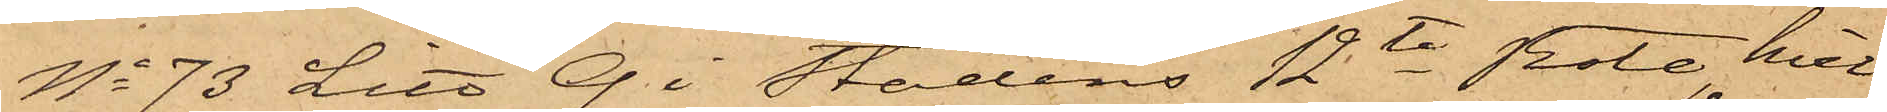No 73 Litt Q i stadens 12te Rote, hvil¬
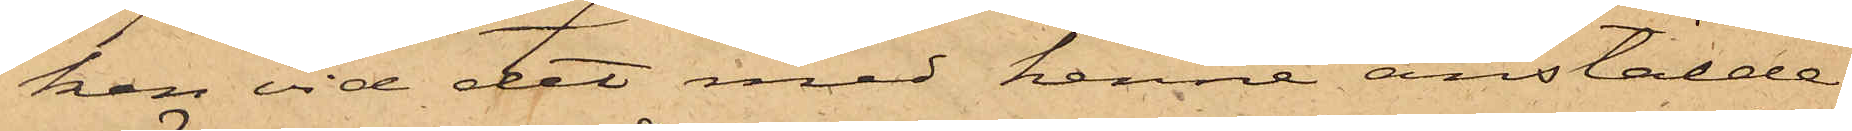ken vid det med henne anstälde
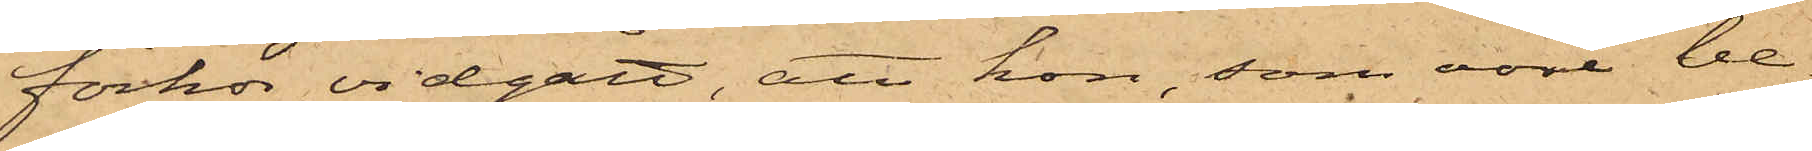förhör vidgått, att hon, som vore be¬
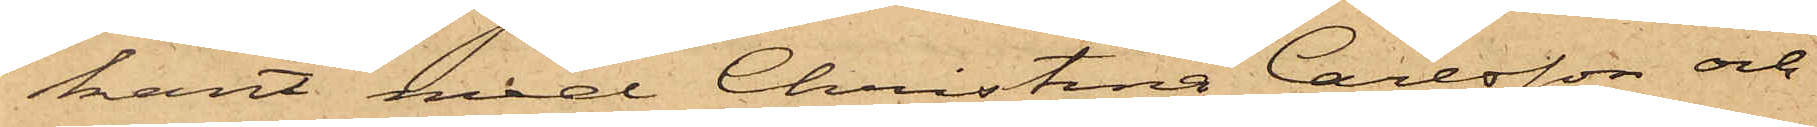kant med Christina Carlsson och
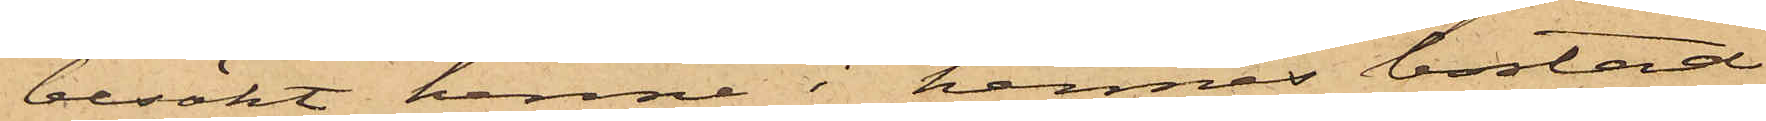besökt henne i hennes bostad,
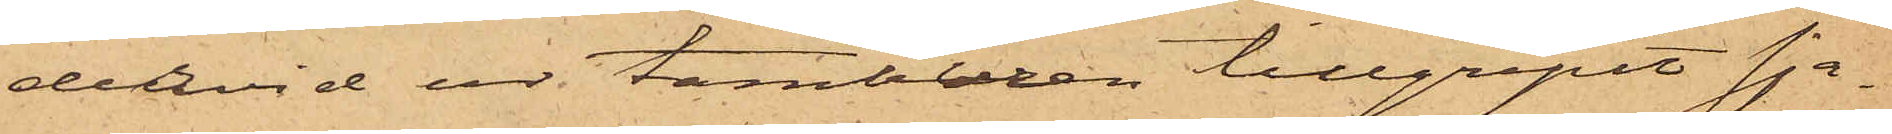dervid ur tamburen tillgripit sja¬
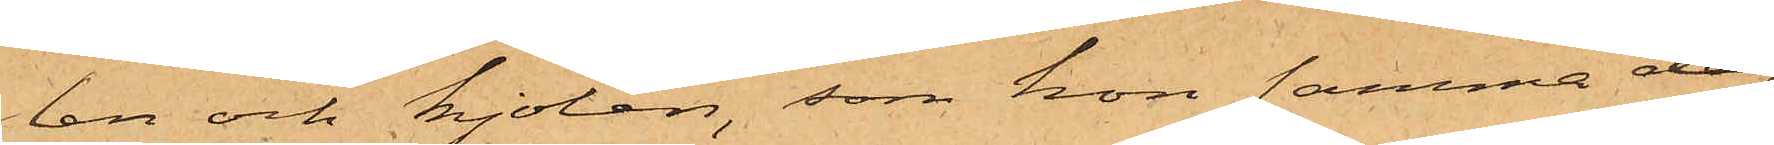len och kjolen, som hon samma dag
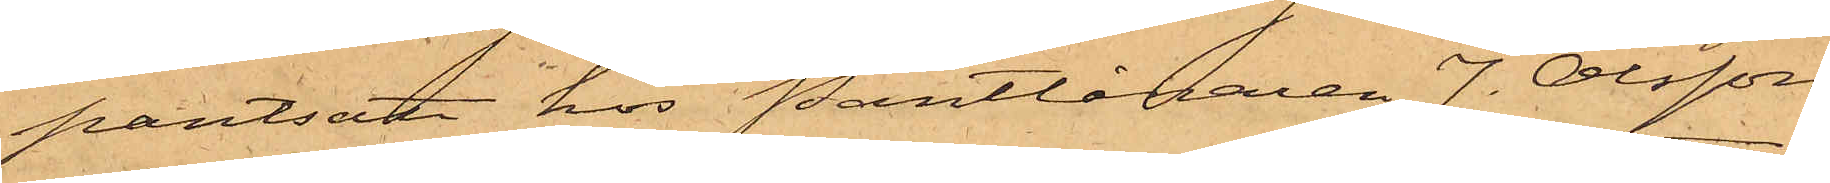pantsatt hos Pantlånaren J. Olsson
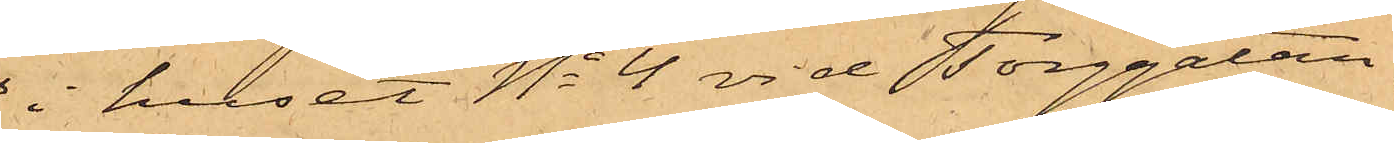i huset No 4 vid Torggatan,
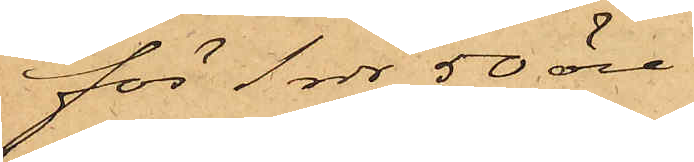för 1 rdr 50 öre.
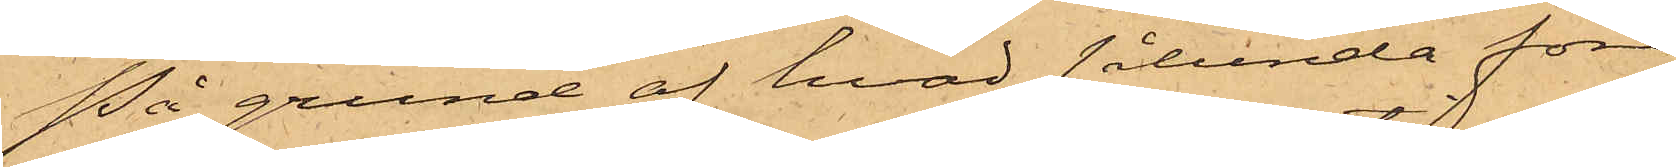På grund af hvad sålunda före¬
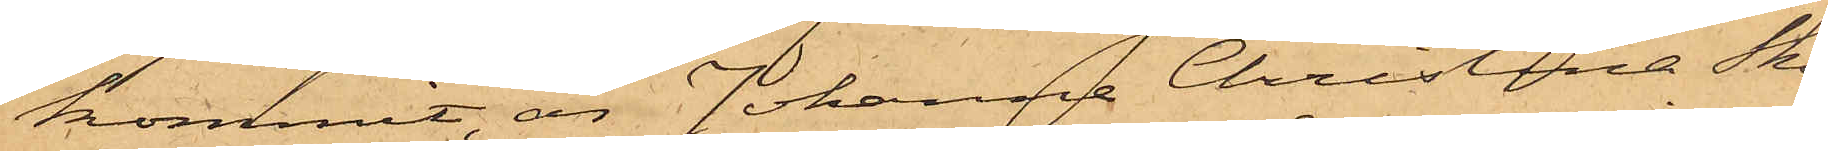kommit, är Johanna Christina Skön¬
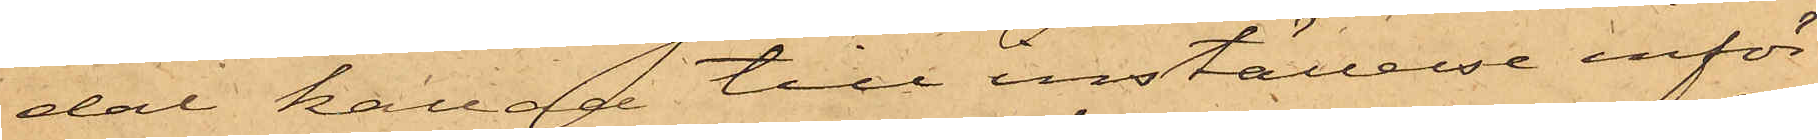dal kallad till inställelse inför
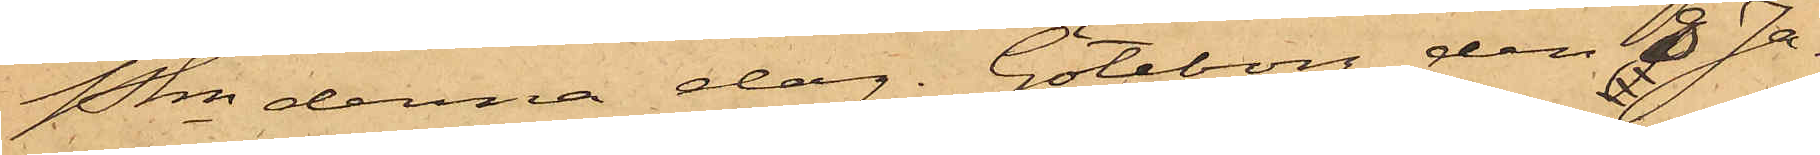Pkn denna dag. Göteborg den 8 Ja¬
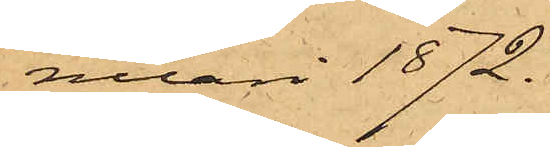nuari 1872.
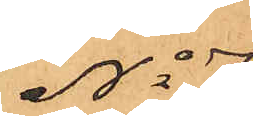No 7
